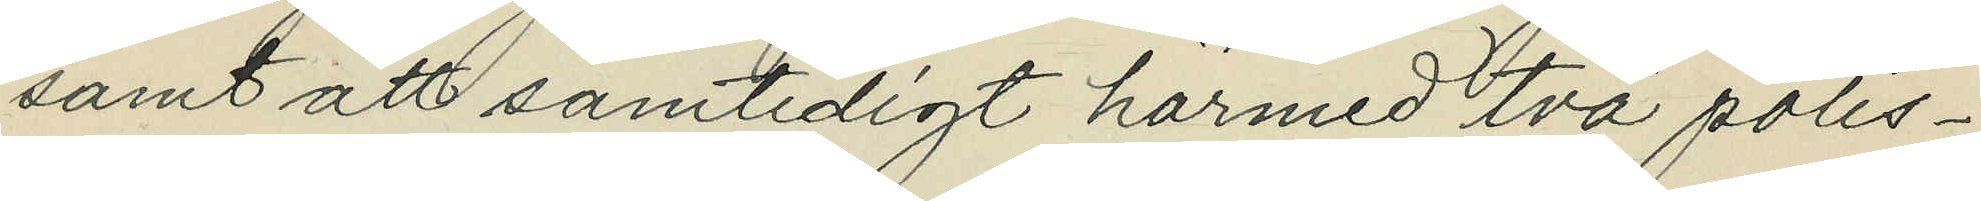samt att samtidigt härmed två polis¬
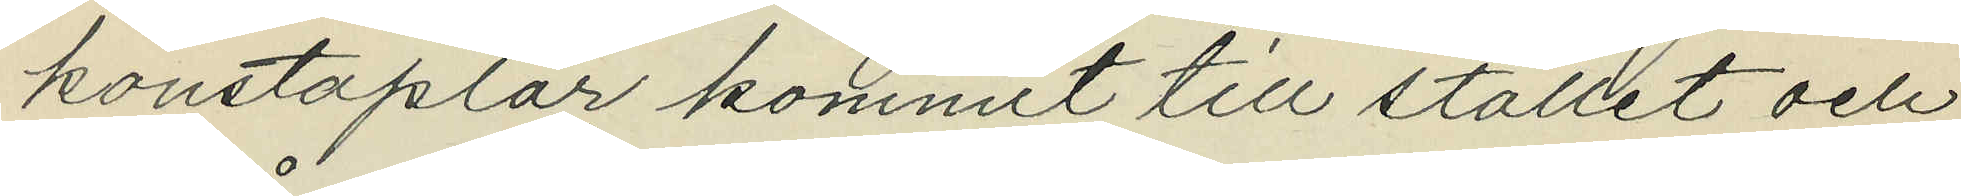konstaplar kommit till stället och
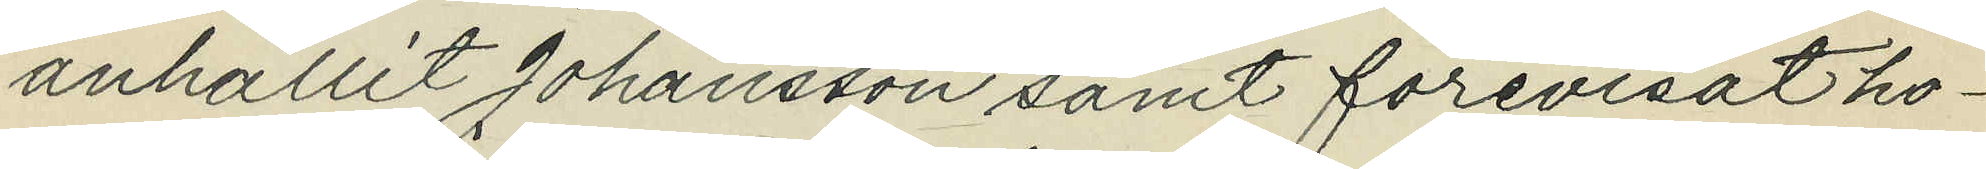anhållit Johansson samt förevisat ho¬
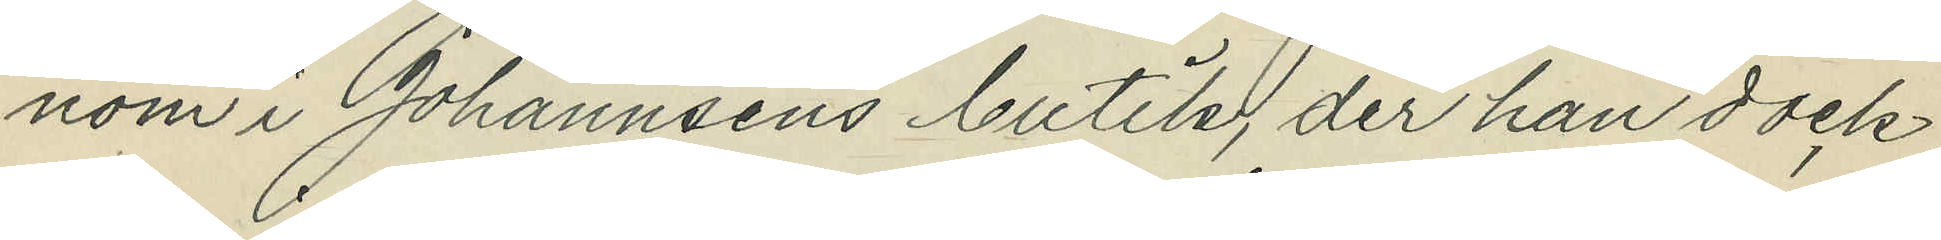nom i Johannsens butik, der han dock
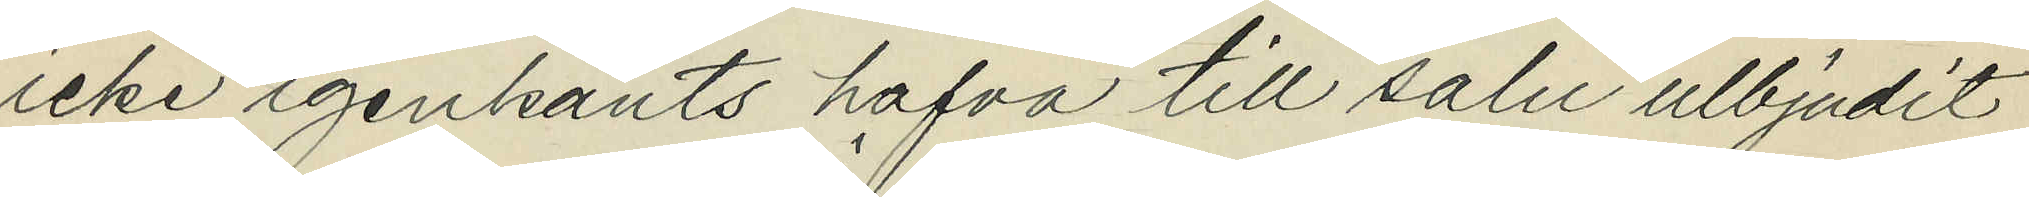icke igenkänts hafva till salu ulbjudit
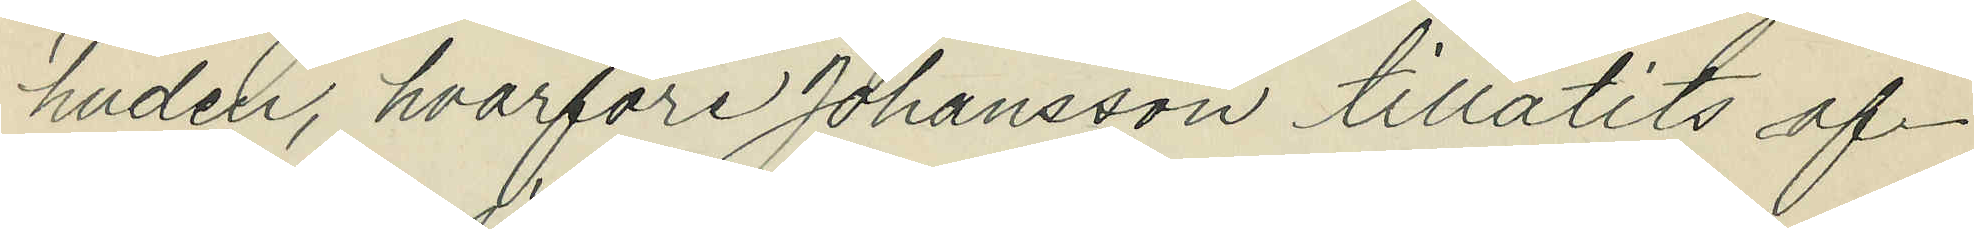huden, hvarföre Johansson tillåtits af¬
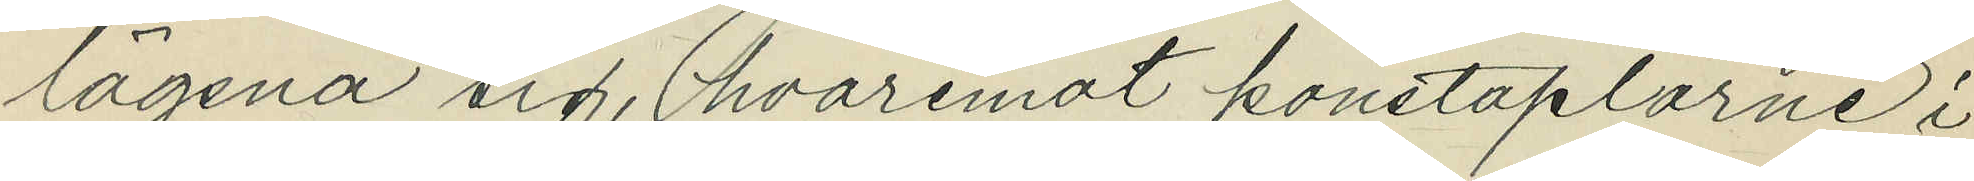lägsna sig, hvaremot konstaplarne i
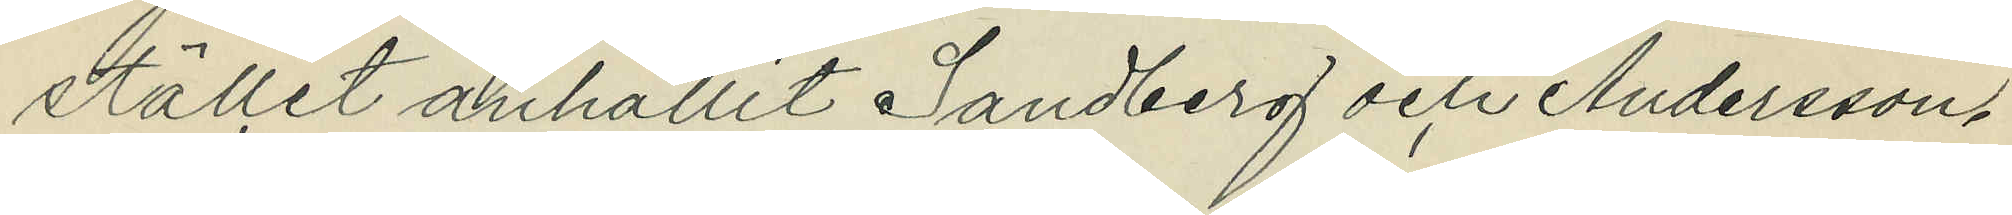stället anhållit Sandberg och Andersson.
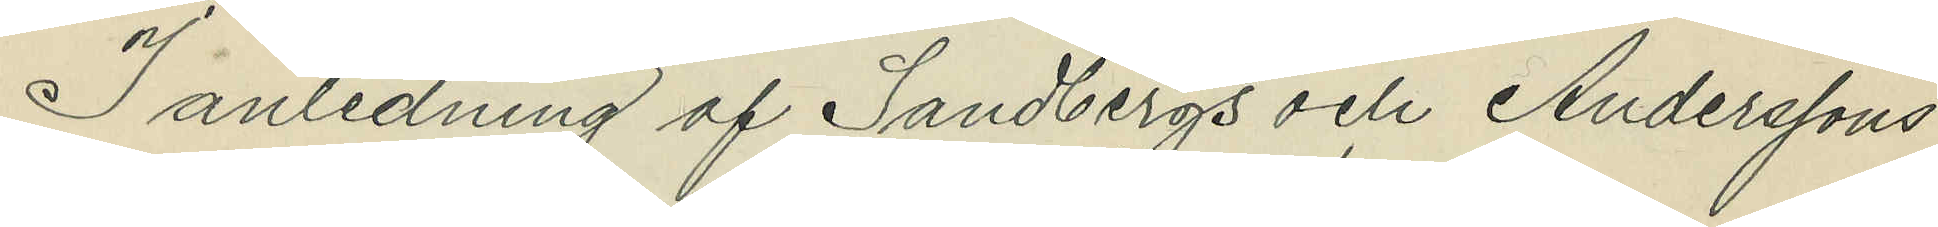I anledning af Sandbergs och Anderssons
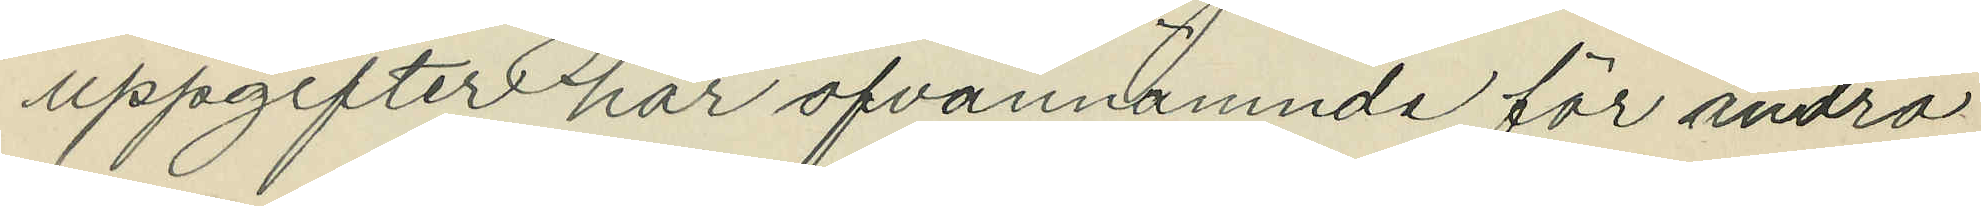uppgifter har ofvannämnde för andra
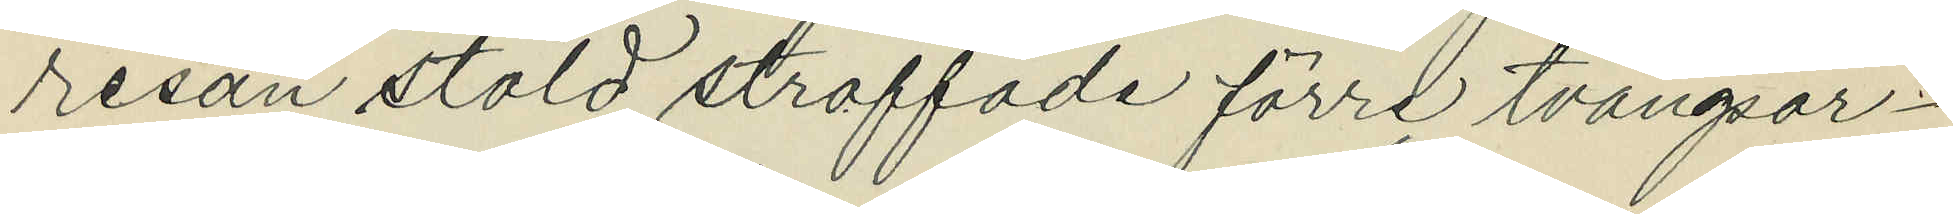resan stöld straffade förre tvångsar¬
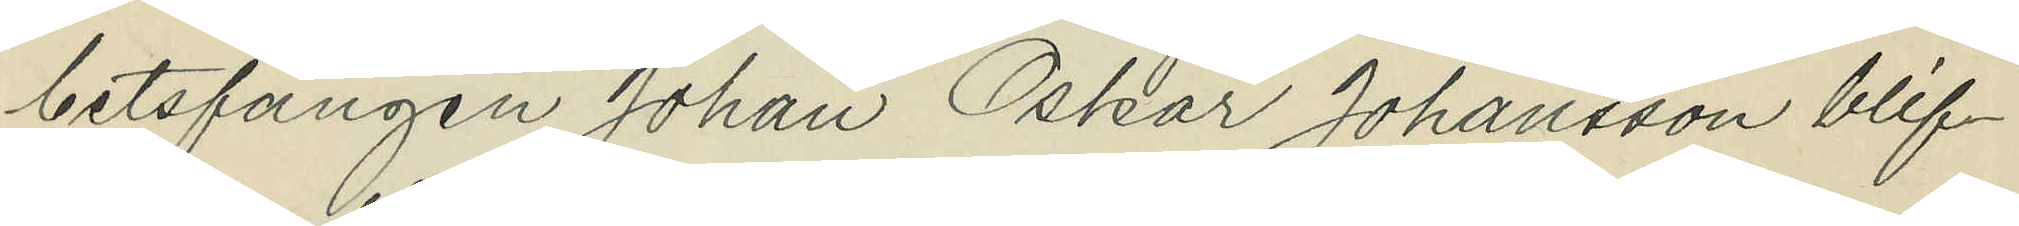betsfången Johan Oskar Johansson blif¬
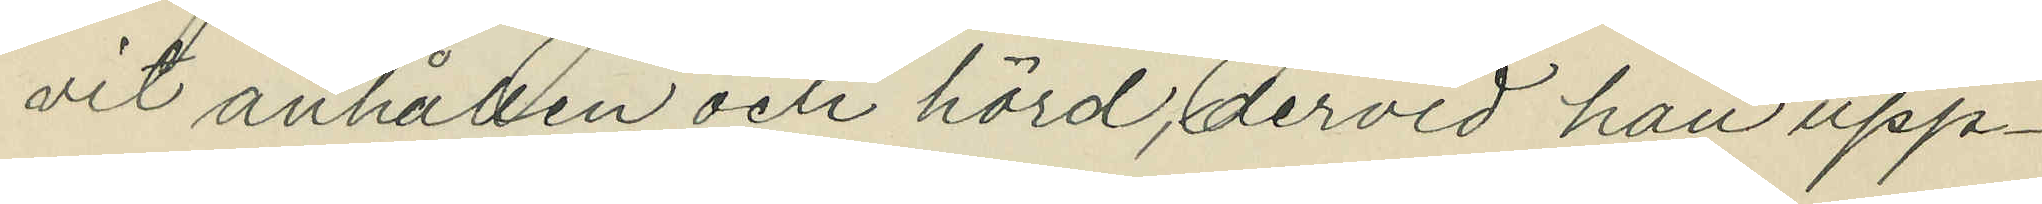vit anhållen och hörd, dervid han upp¬
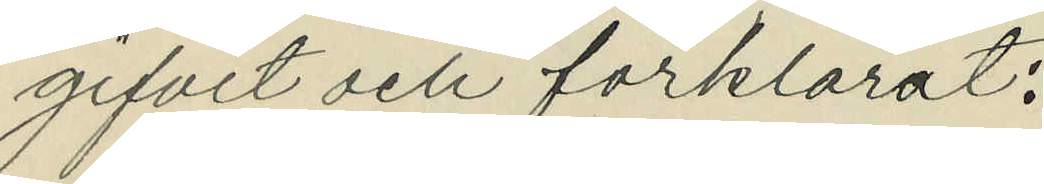gifvit och förklarat:
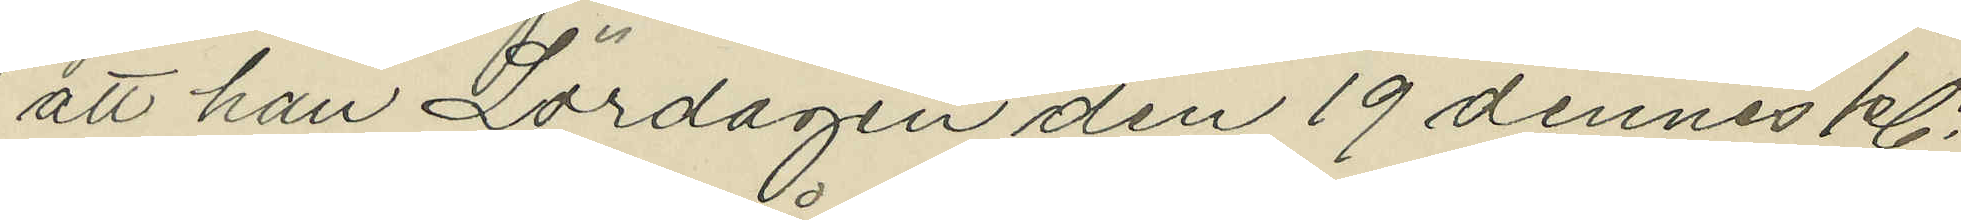att han Lördagen den 19 dennes kl.
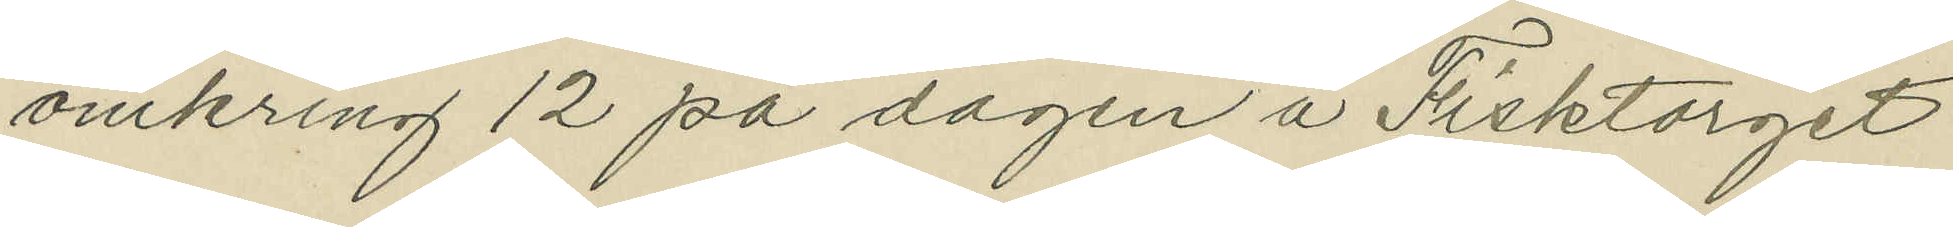omkring 12 på dagen å Fisktorget
